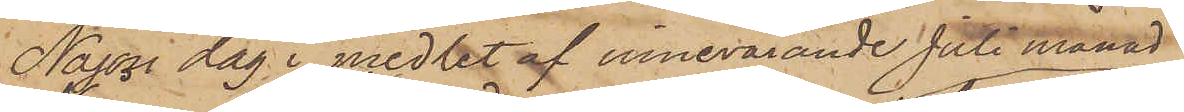Någon dag i medlet af innevarande Juli månad
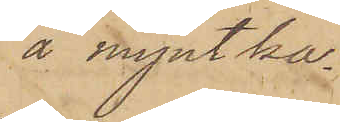å myntka¬
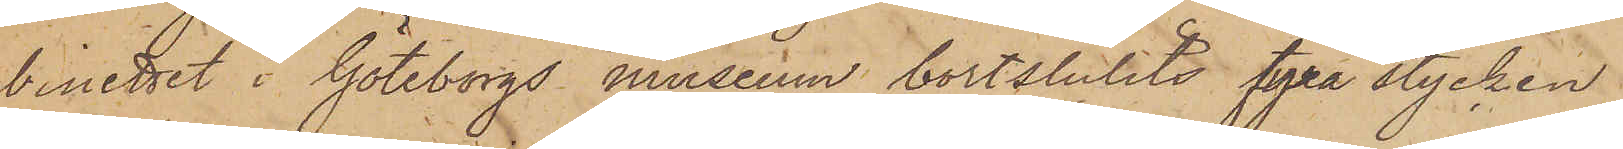binettet i Göteborgs museum bortstulits fyra stycken
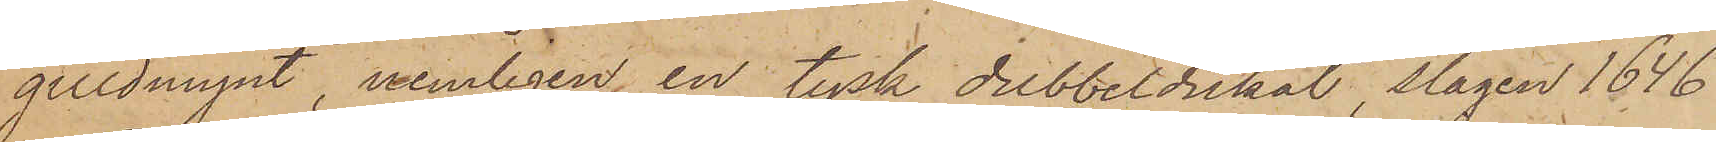guldmynt, nemligen en tysk dubbeldukat, slagen 1646
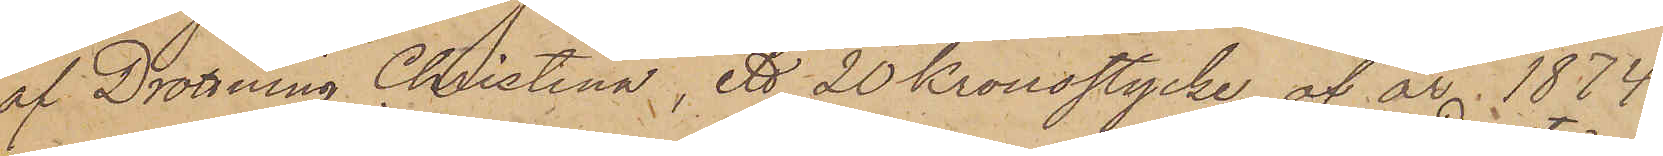af Drottning Christina, ett 20 Kronostycke af år 1874
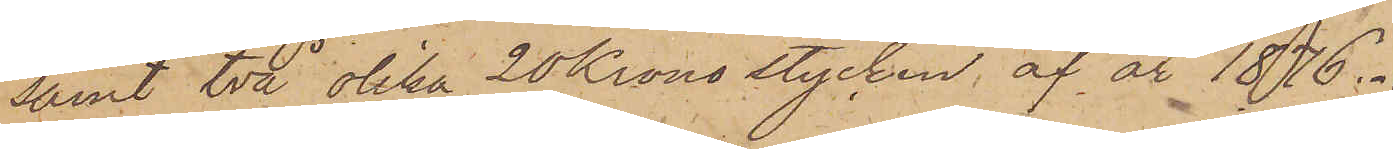samt två olika 20 Kronostycken, af år 1876.
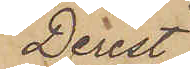Derest
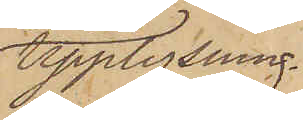upplysning
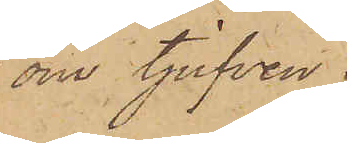om tjufven
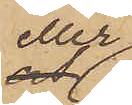eller
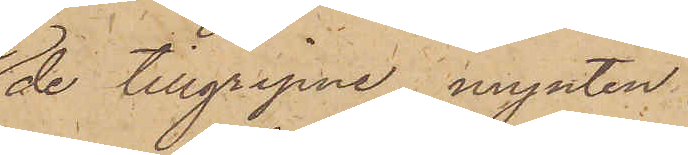de tillgripne mynten
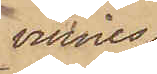vinnes
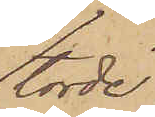torde
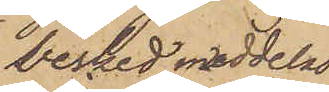besked meddelas
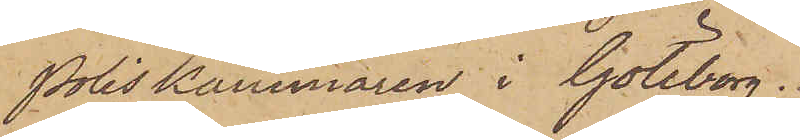Poliskammaren i Göteborg.
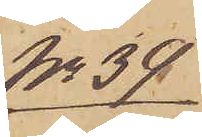No 39
